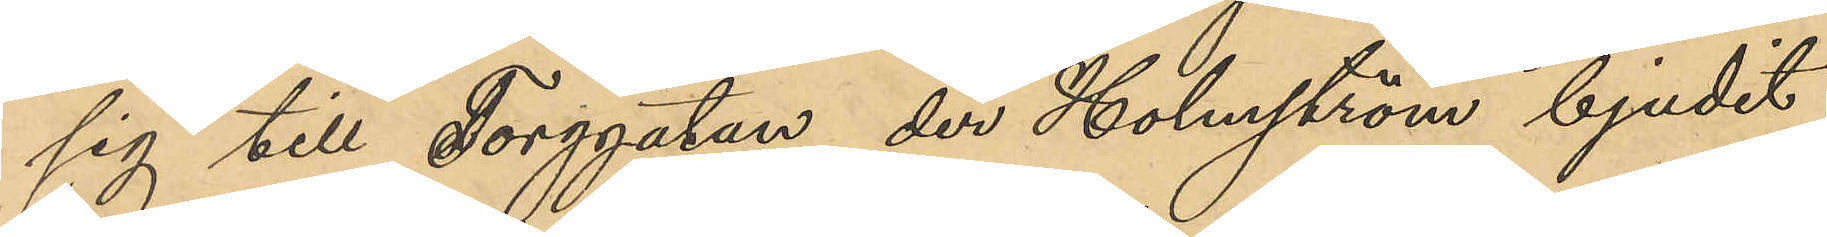sig till Torggatan, der Holmström bjudit
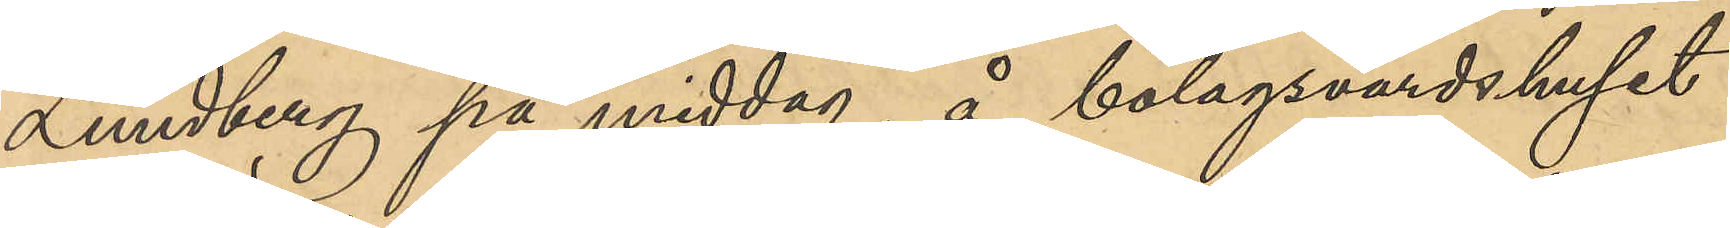Lundberg på middag, å bolagsvärdshuset
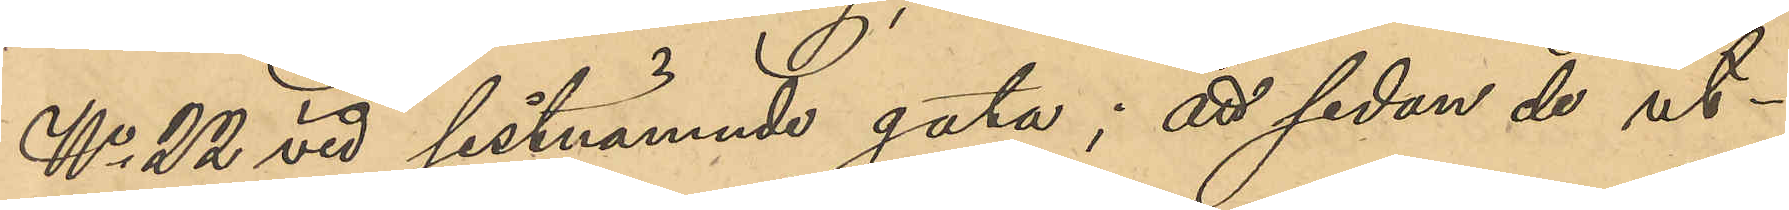No 22 vid sistnämnde gata; att sedan de ut¬
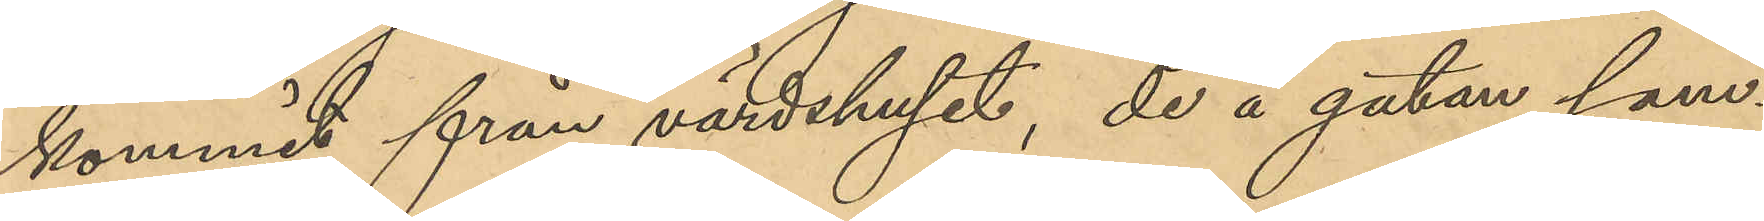kommit från värdshuset, de å gatan sam¬
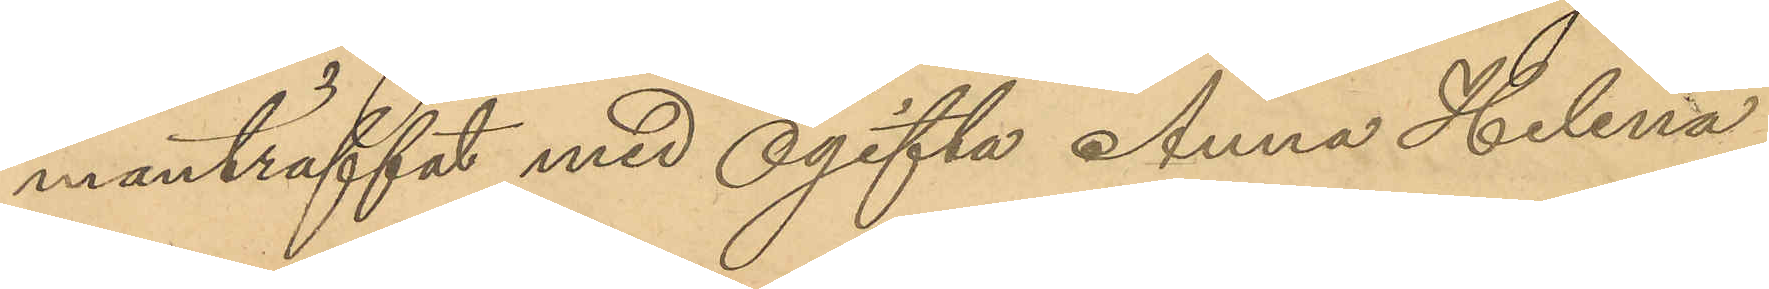manträffat med ogifta Anna Helena
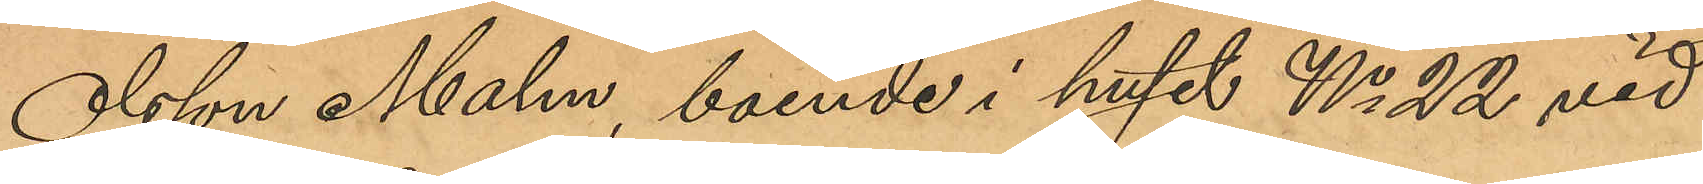Olsson Malm, boende i huset No 22 vid
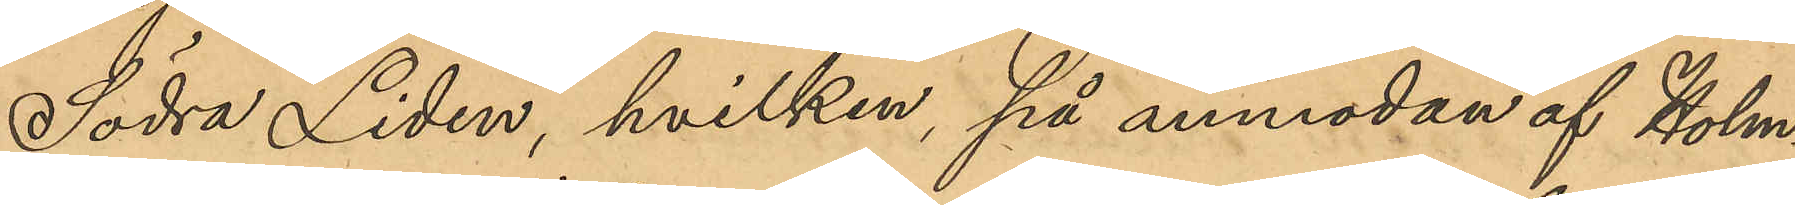Södra Liden hvilken, på anmodan af Holm¬
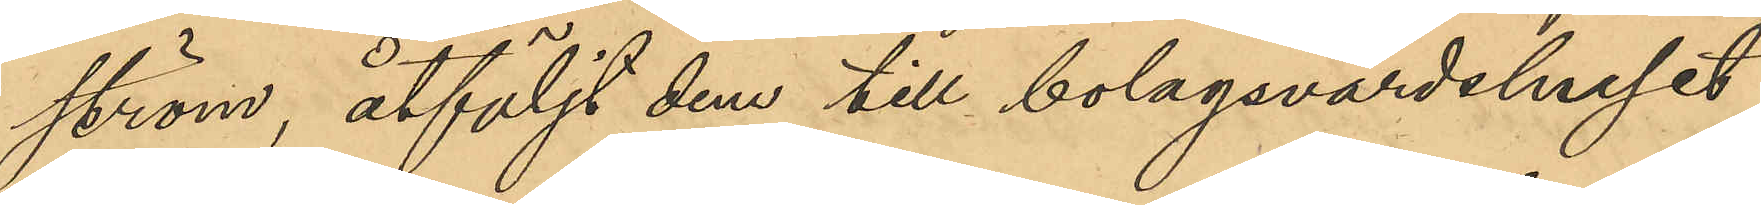ström, åtföljt dem till bolagsvärdshuset
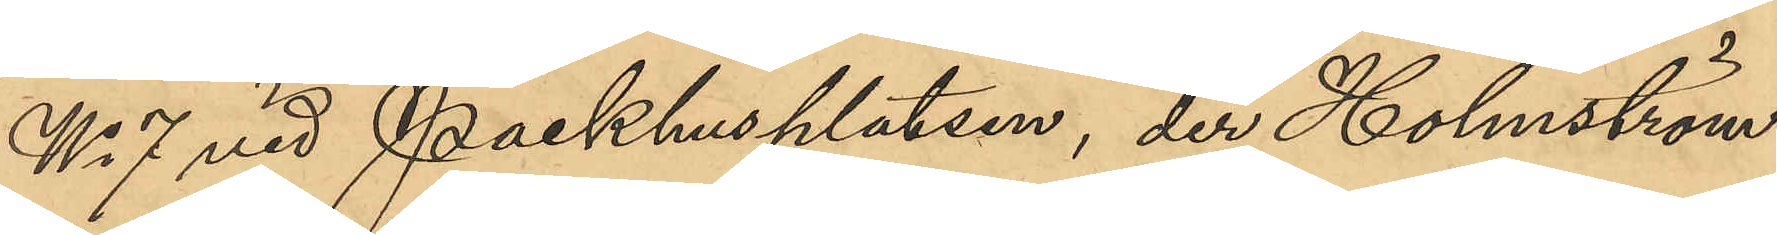No 7 vid Packhusplatsen, der Holmström
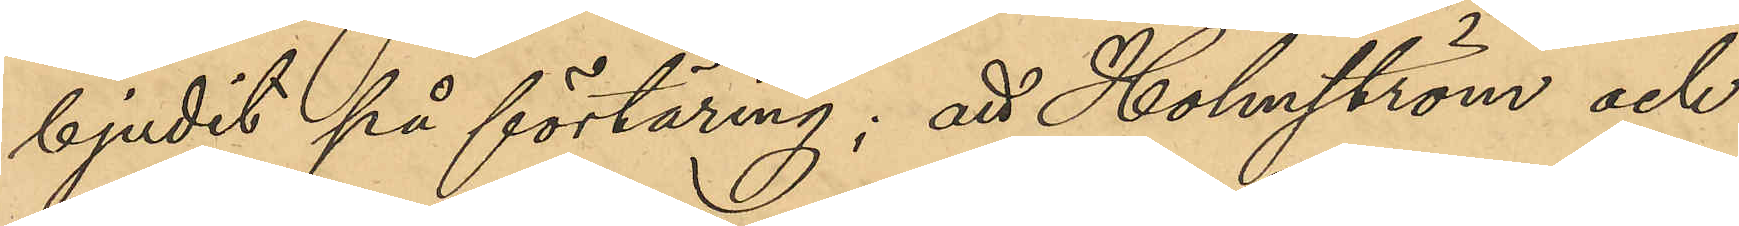bjudit på förtäring; att Holmström och
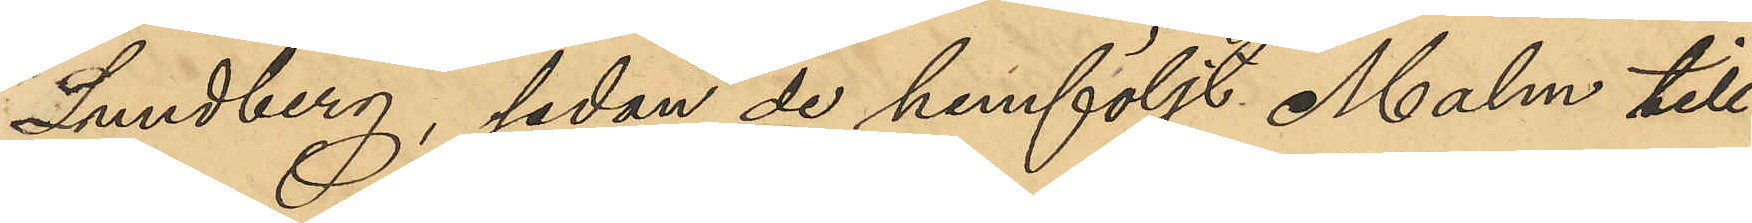Lundberg, sedan de hemföljt Malm till
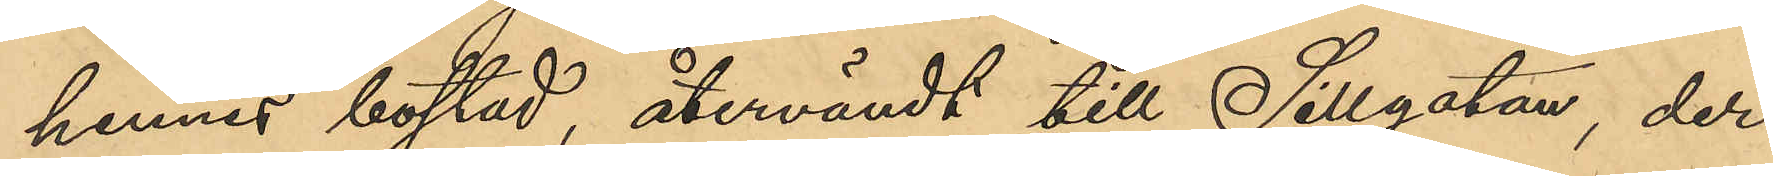hennes bostad, återvändt till Sillgatan, der 
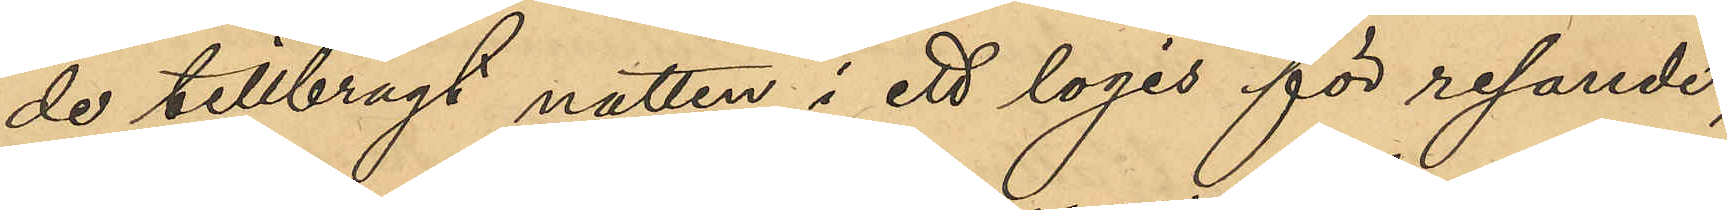de tillbragt natten i ett logis för resande;
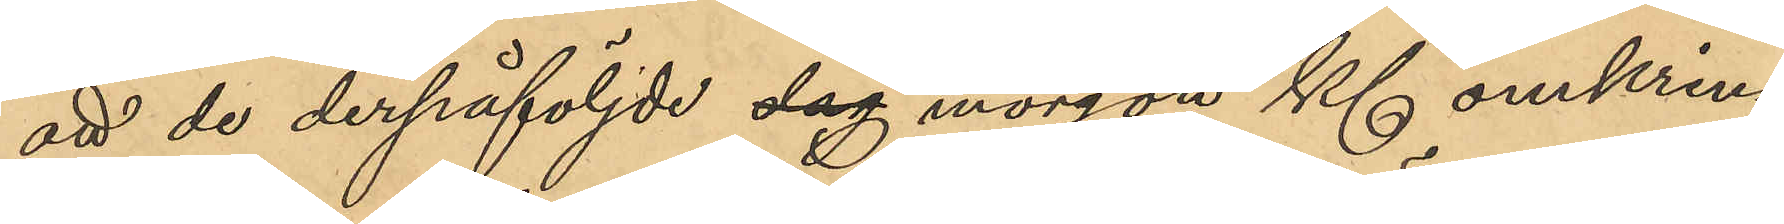att de derpåföljde dag morgon Kl omkring
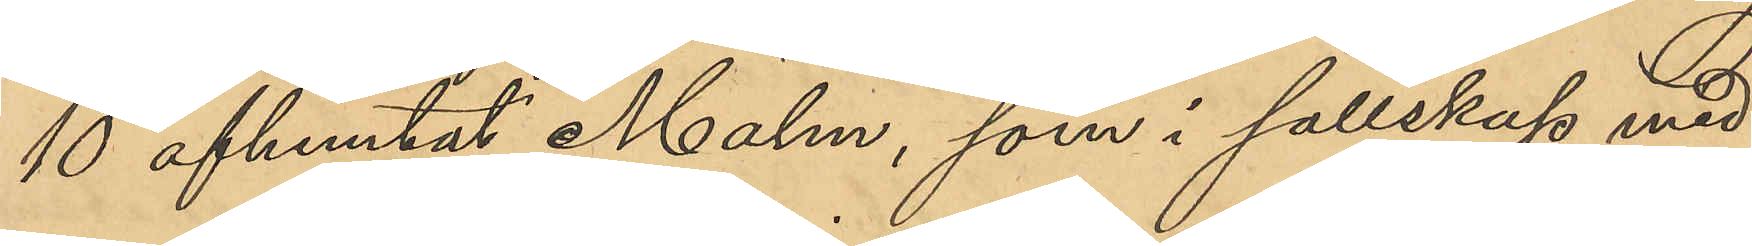10 afhemtat Malm, som i sällskap vid 
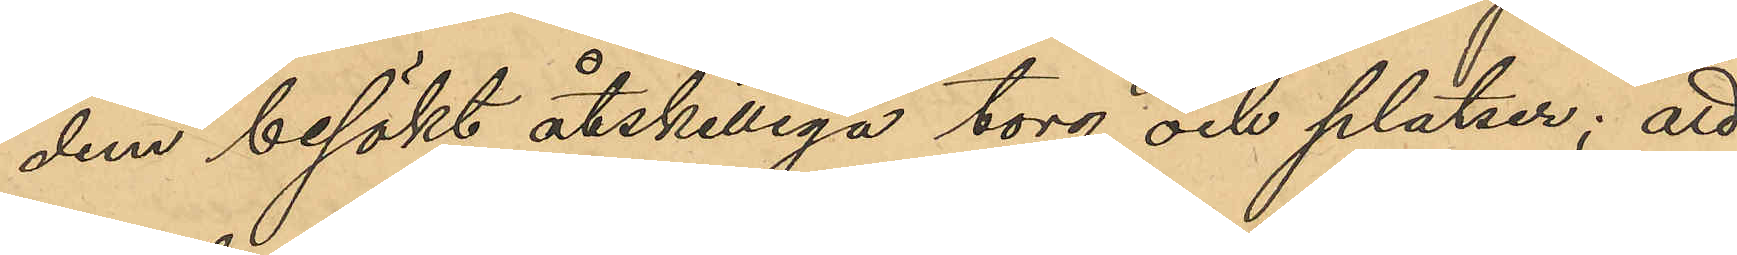dem besökt åtskilliga torg och platser; att
